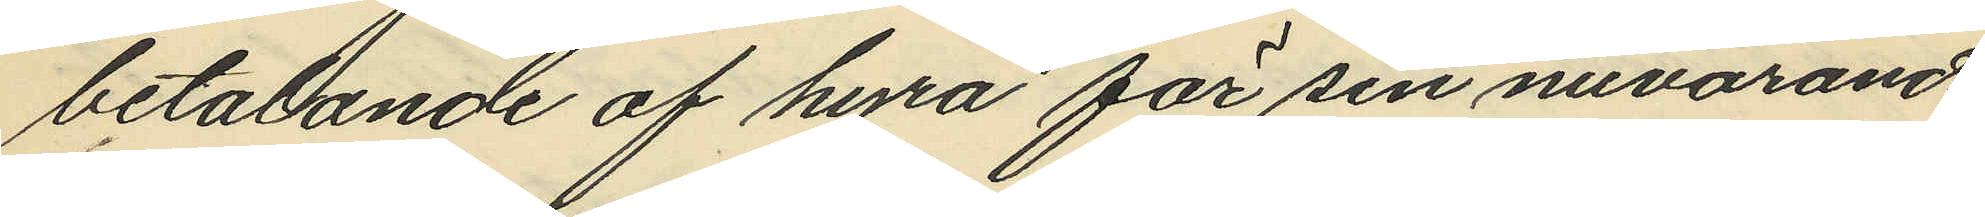betalande af hyra för sin nuvarande
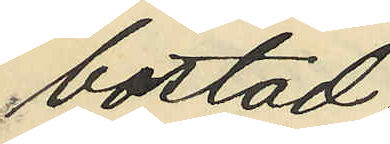bostad.
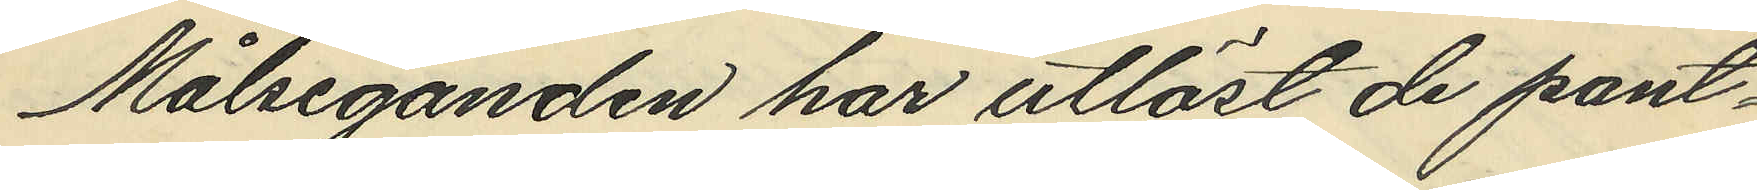Målseganden har utlöst de pant¬
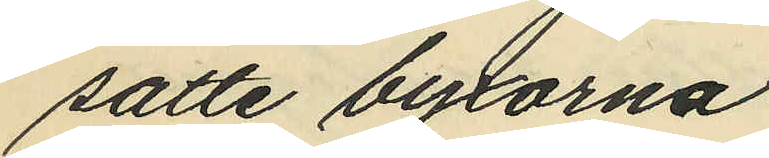satte byxorna
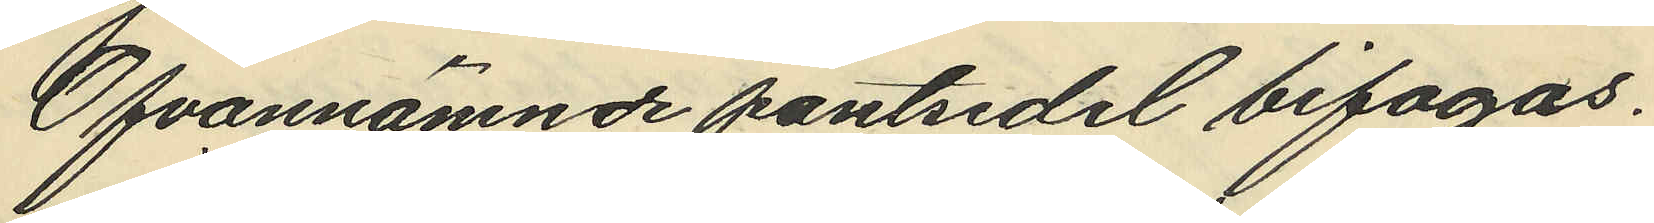Ofvannämnde pantsedel bifogas.
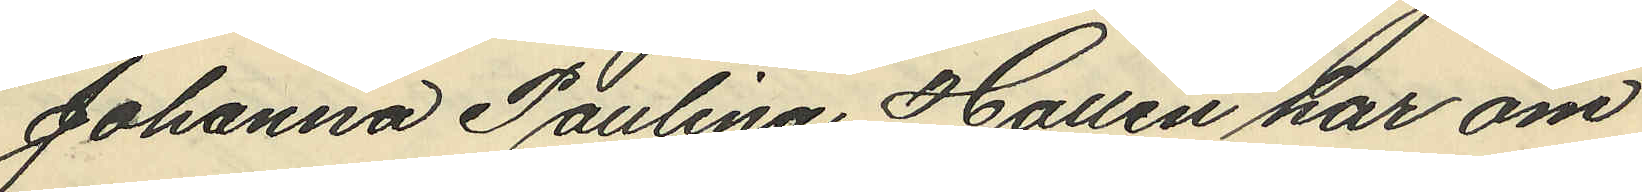Johanna Paulina Hallén har om
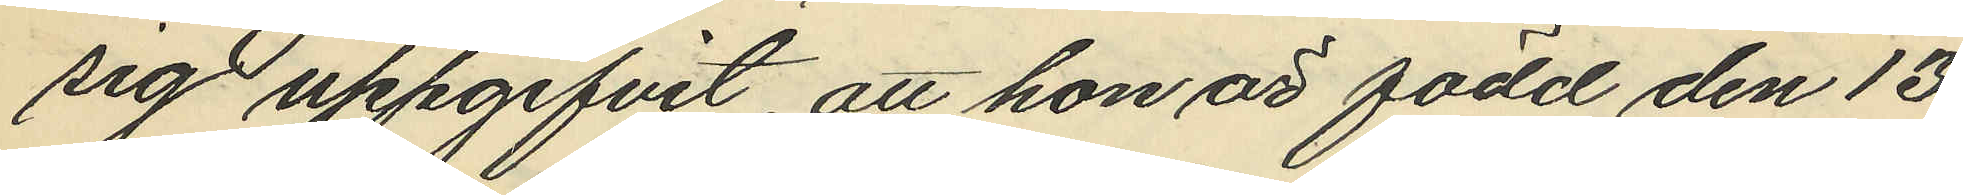sig uppgifvit, att hon är född den 13
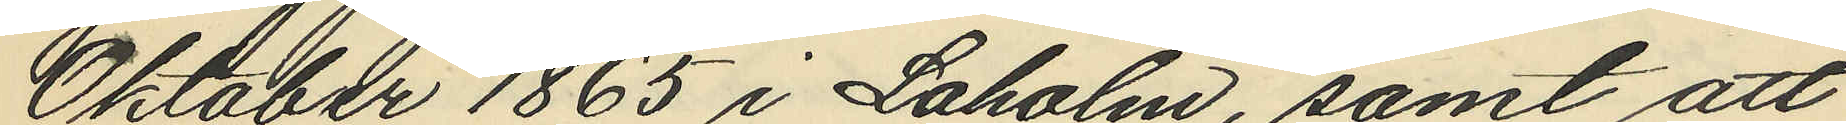Oktober 1865 i Laholm, samt att
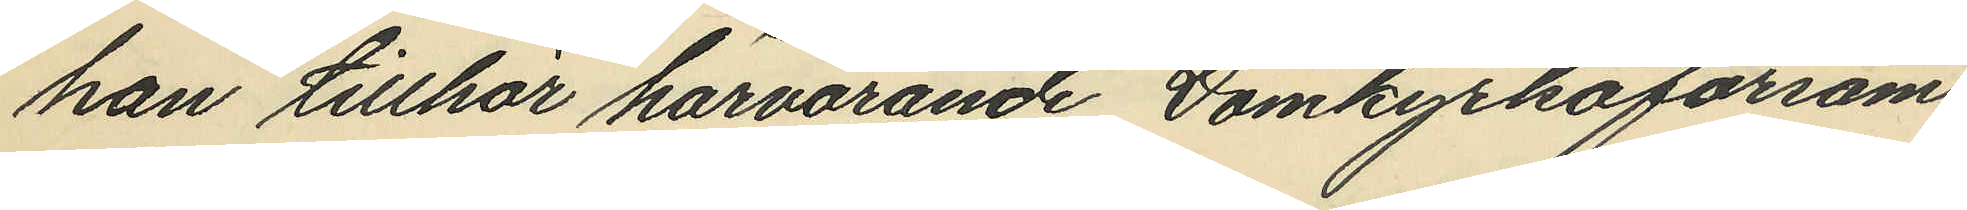hon tillhör härvarande Domkyrkoförsam¬
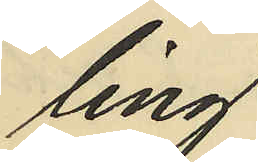ling.
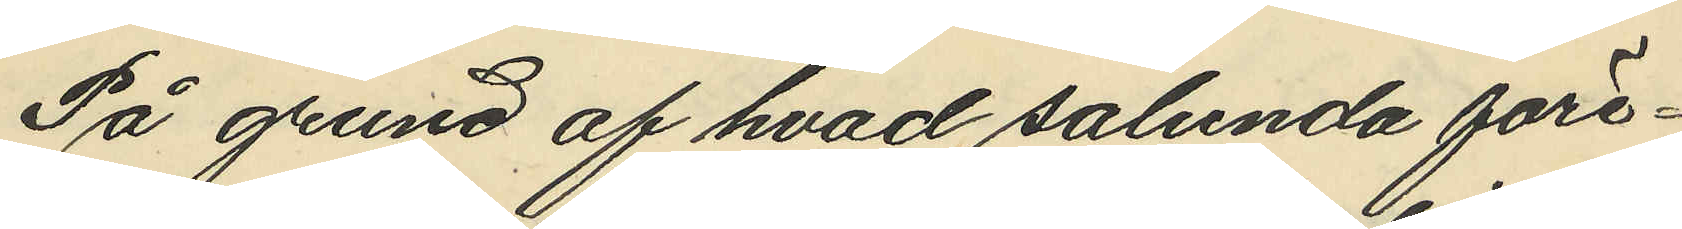På grund af hvad sålunda före¬
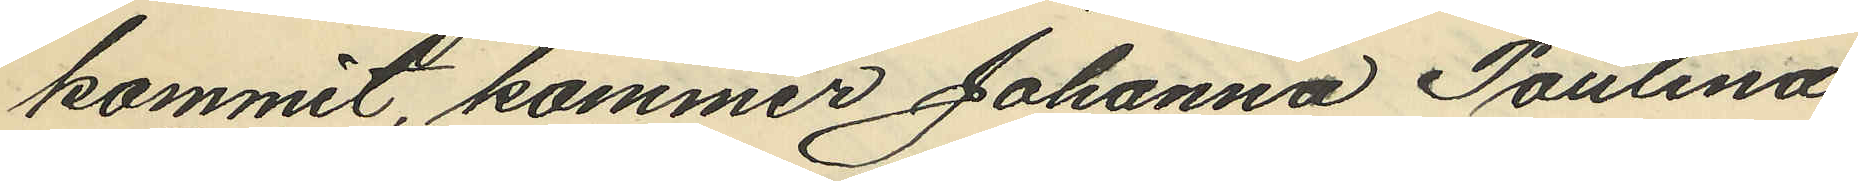kommit, kommer Johanna Paulina
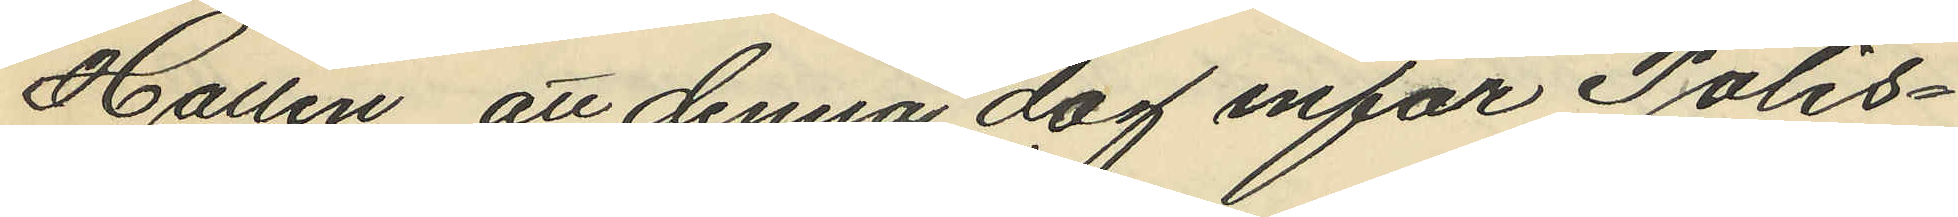Hallén att denna dag inför Polis¬
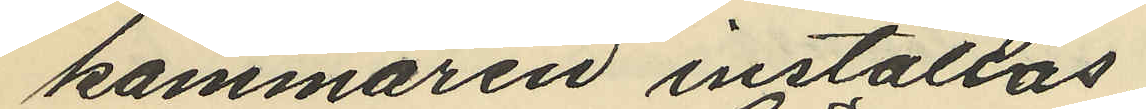kammaren inställas.
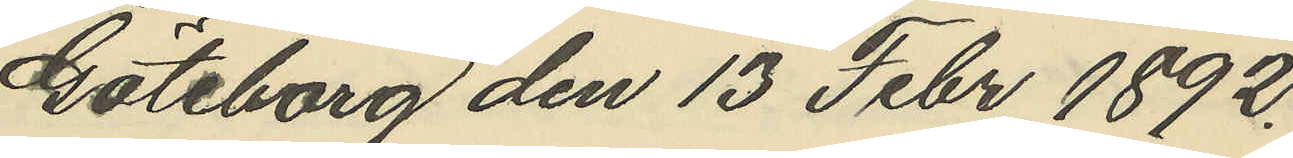Göteborg den 13 Febr 1892.
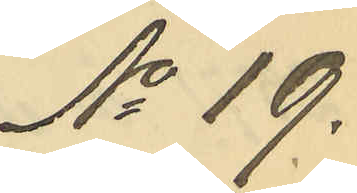No 19.
